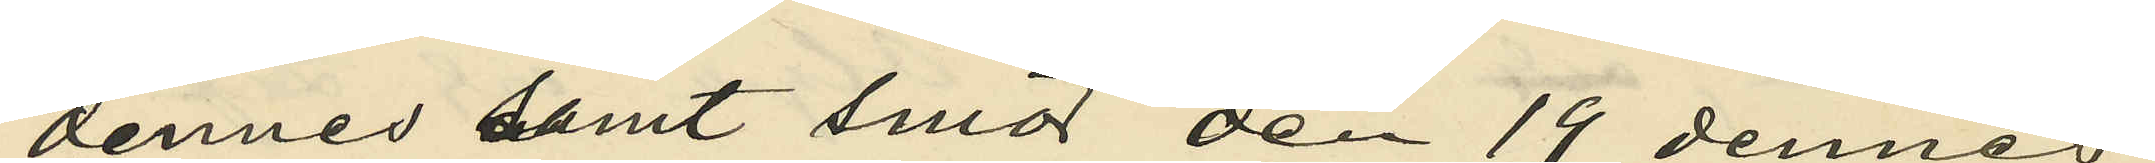dennes samt smör den 19 dennes
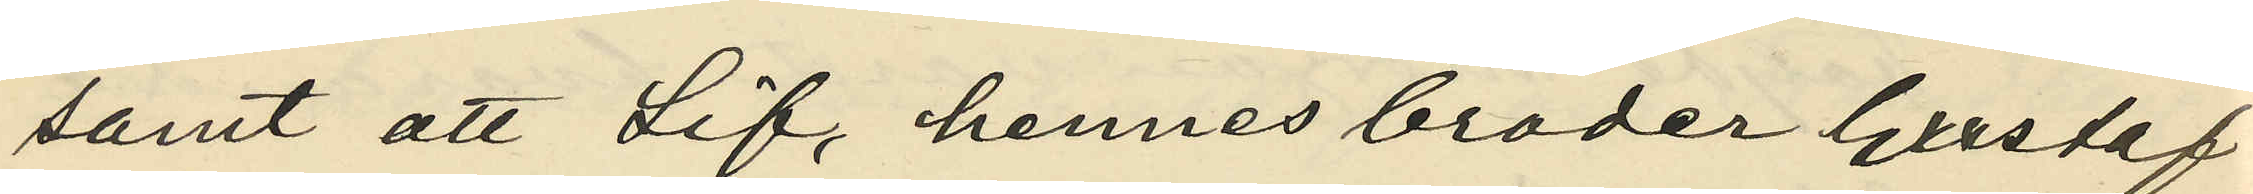samt att Lif, hennes broder Gustaf
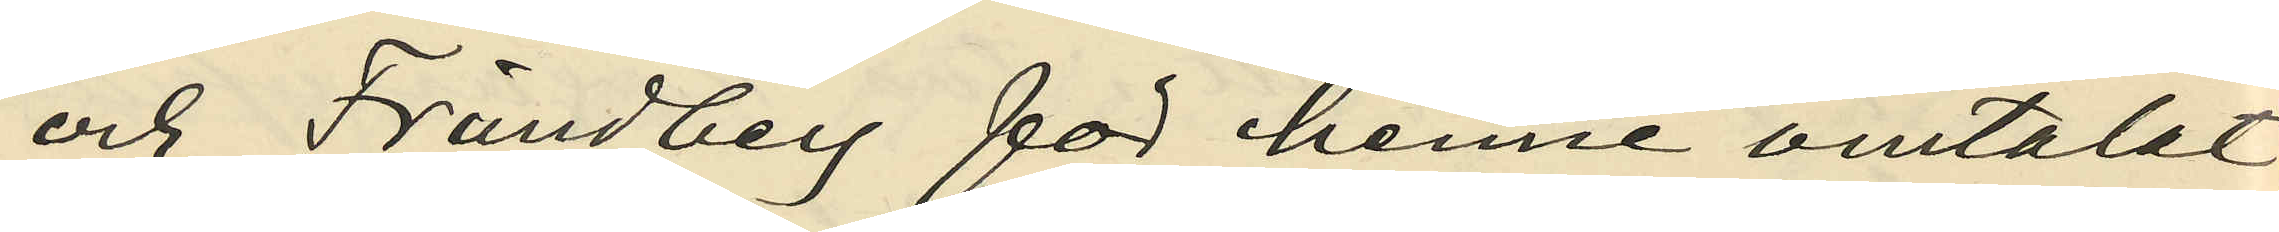och Frändberg för henne omtalat
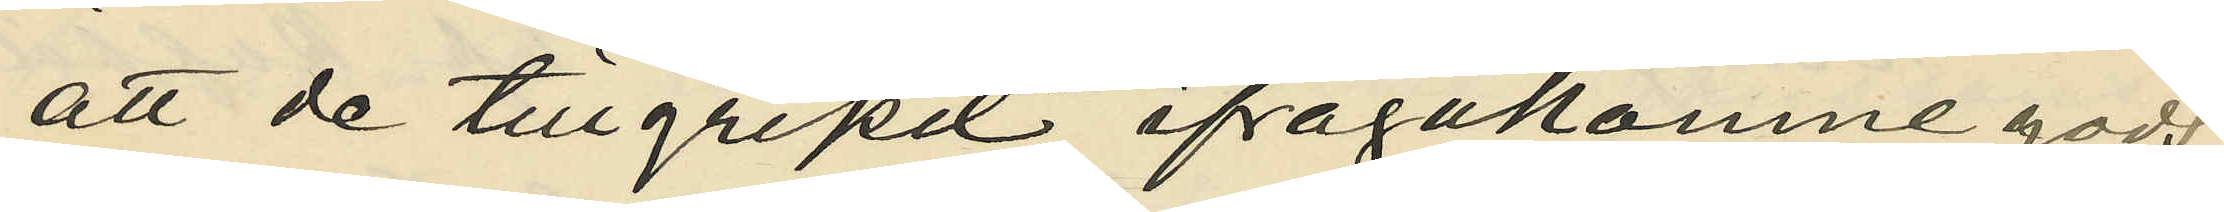att de tillgripit ifrågakomne gods;
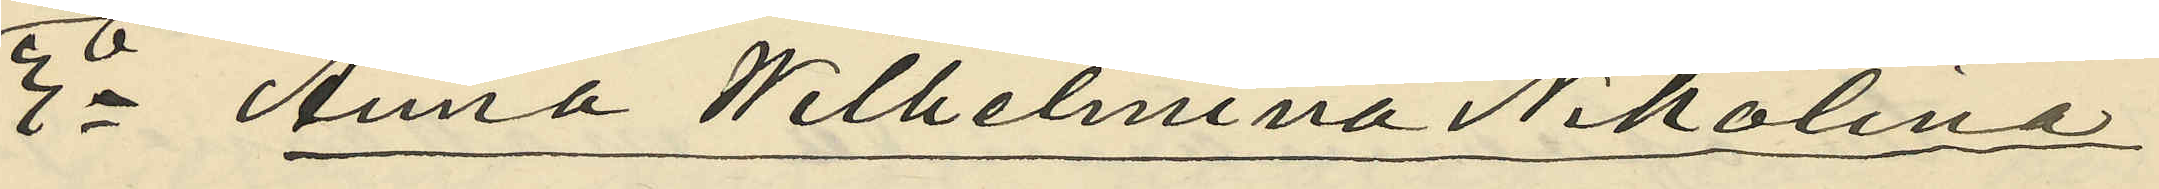3o Anna Wilhelmina Nikolina
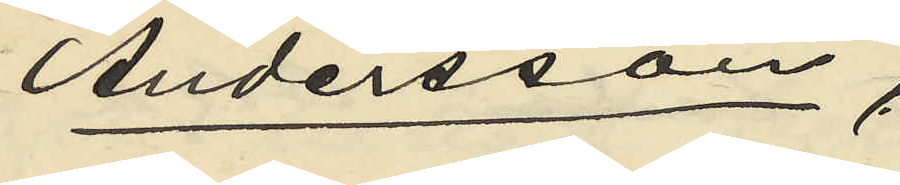Andersson,
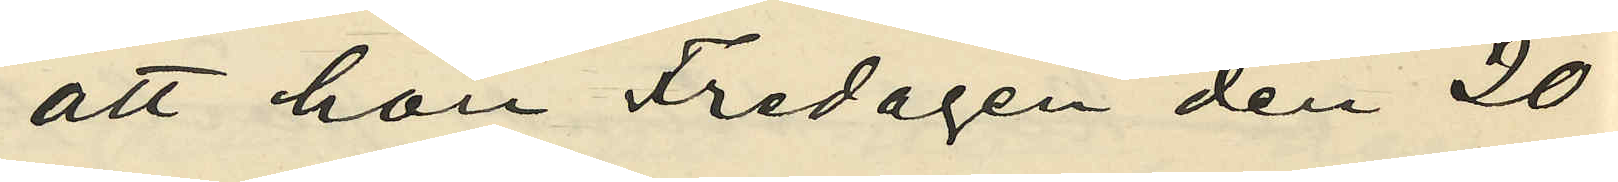att hon Fredagen den 20
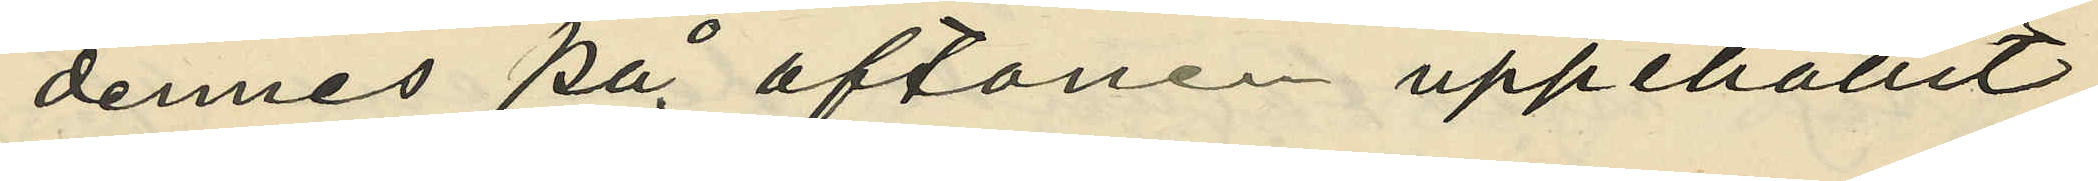dennes på aftonen uppehållit
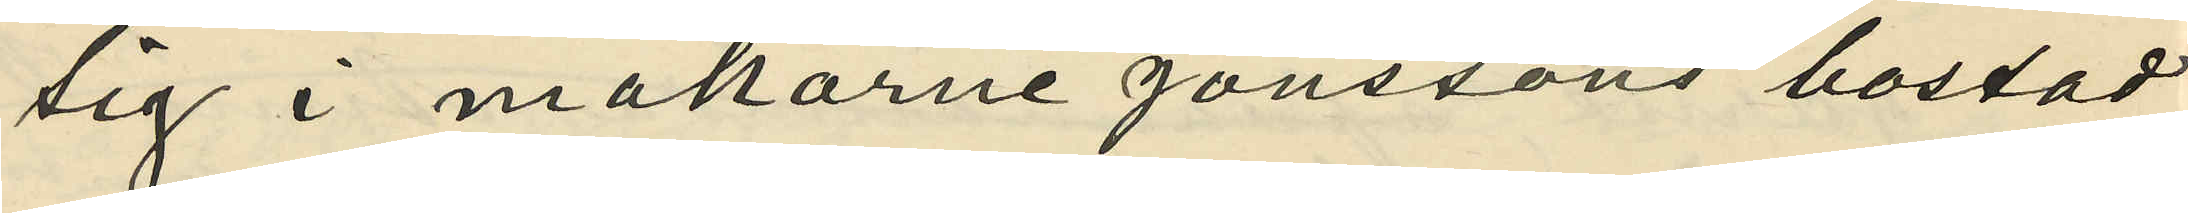sig i makarne Jönssons bostad
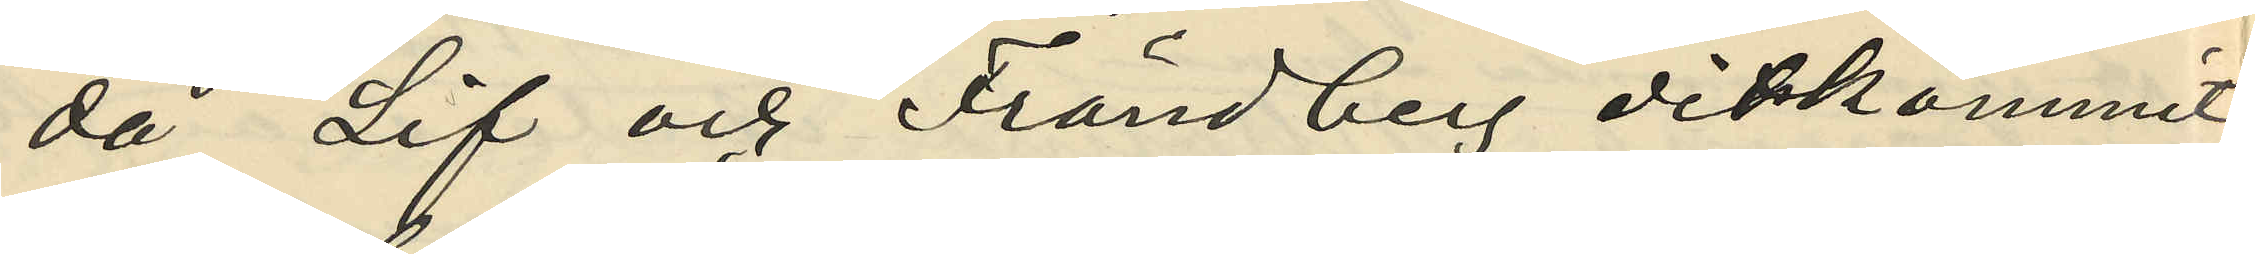då Lif och Frändberg ditkommit
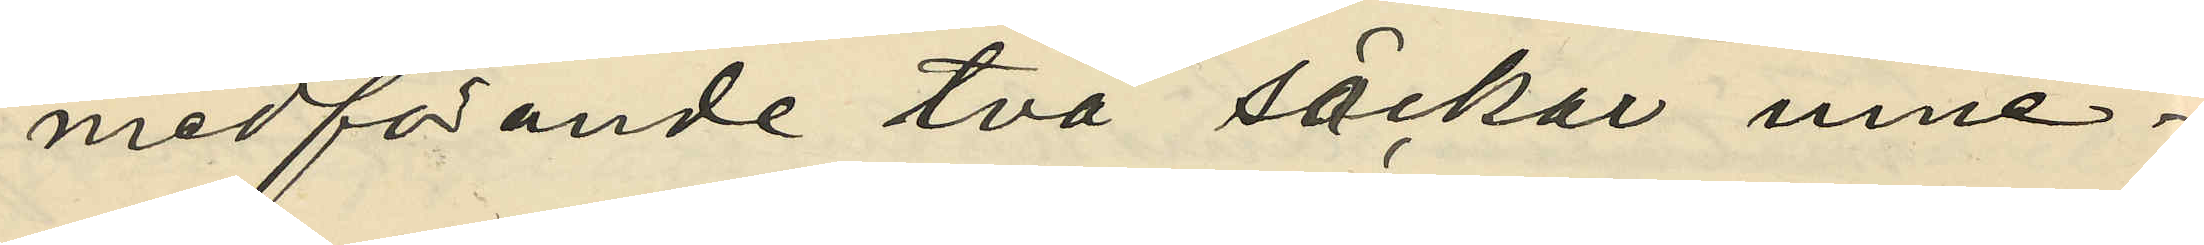medförande två säckar inne¬
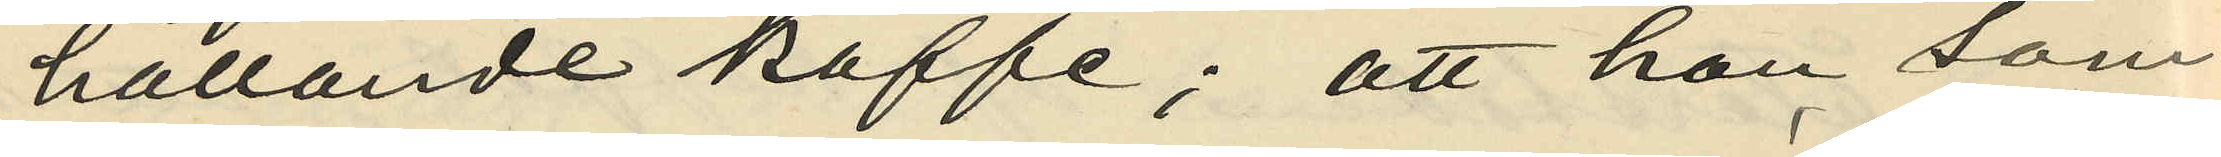hållande kaffe; att hon, som
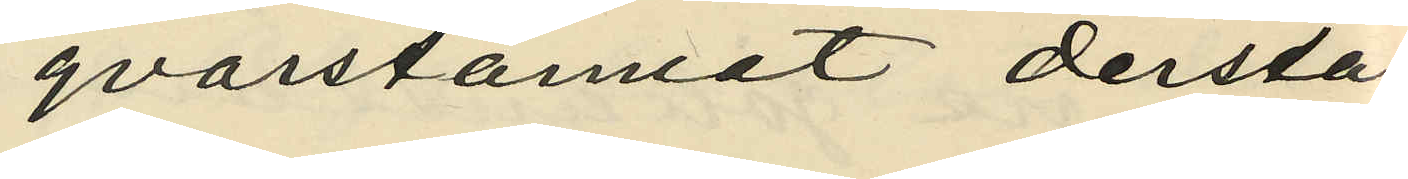qvarstannat derstä¬
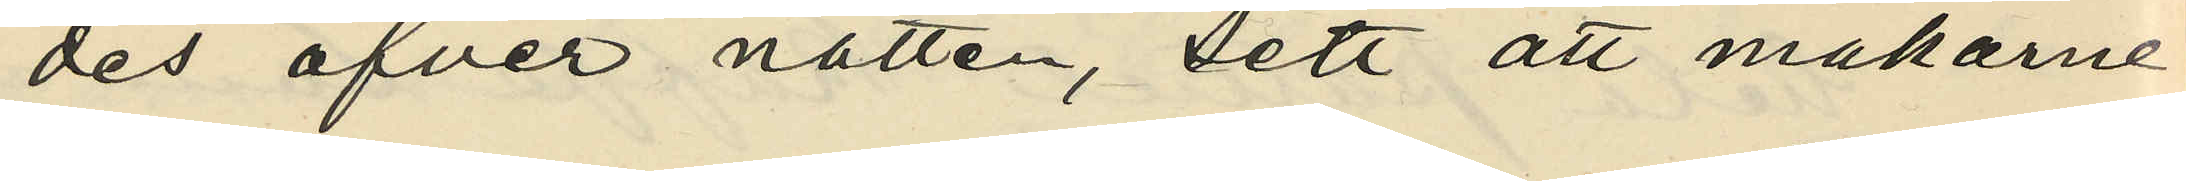des öfver natten, sett att makarne
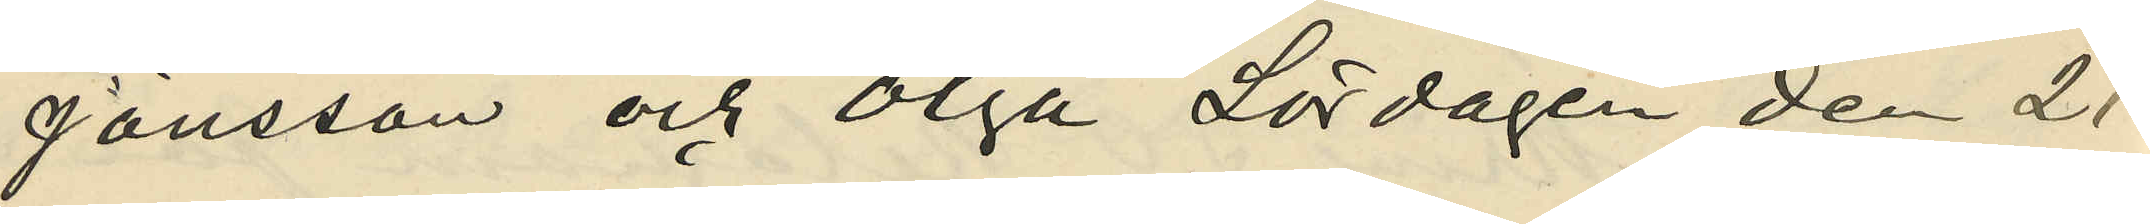Jönsson och Olga Lördagen den 21
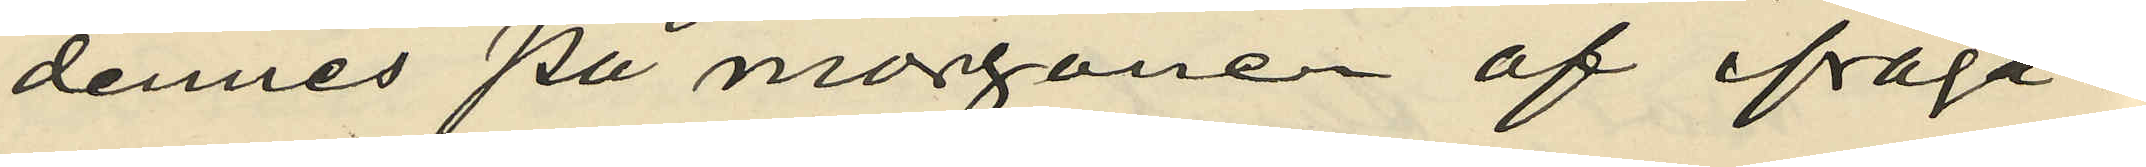dennes på morgonen af ifråga¬
